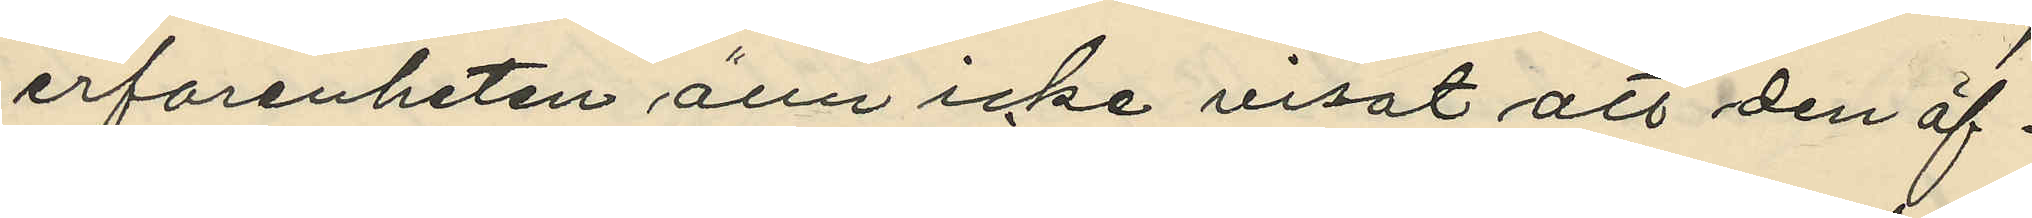erfarenheten änu icke visat att den öf¬
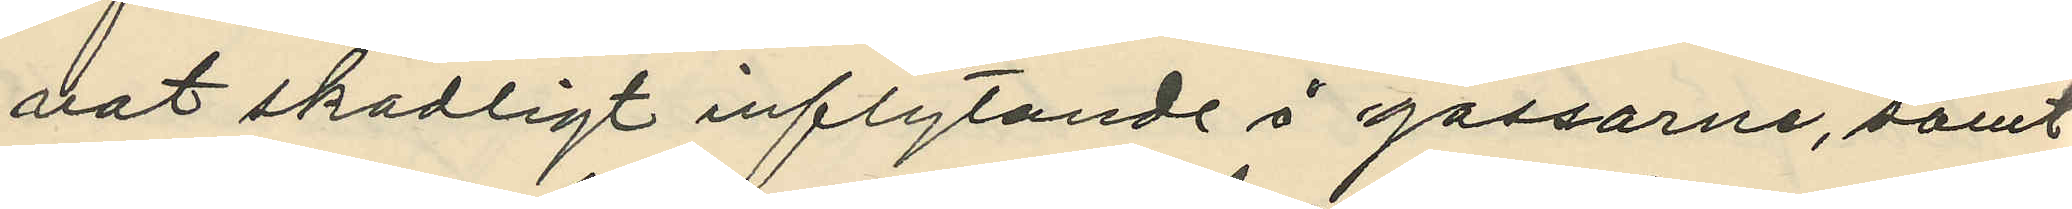vat skadligt inflytande å gossarne, samt
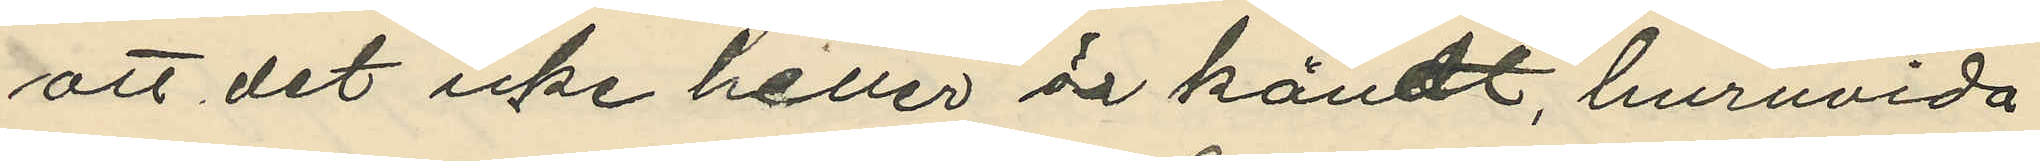att det icke heller är kändt, huruvida
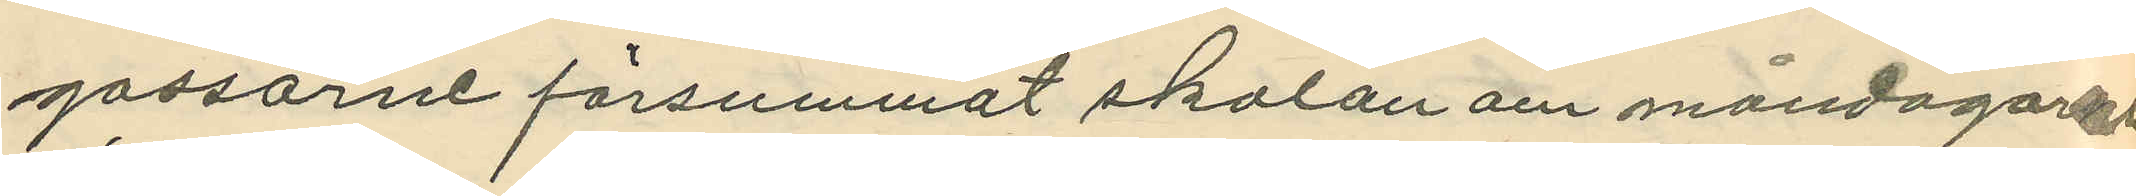gossarne försummat skolan om måndagarne
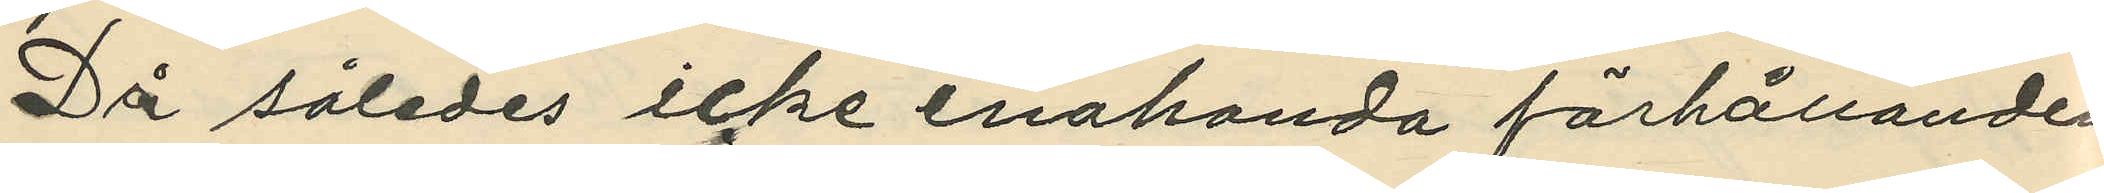Då således icke enahanda förhållanden
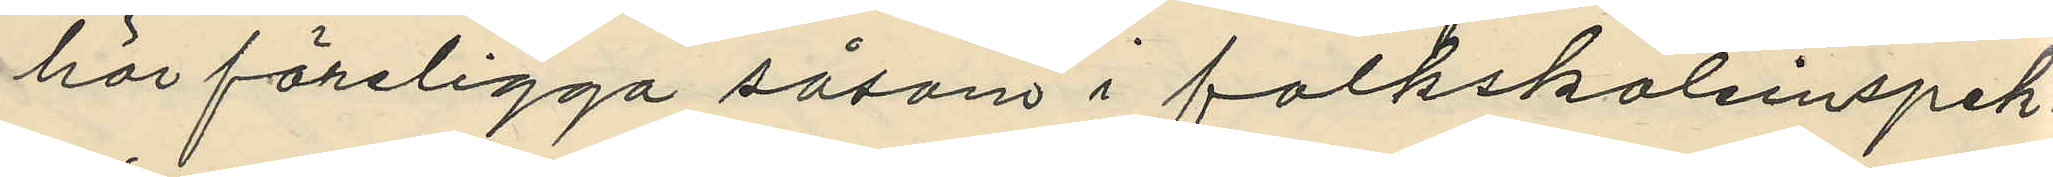här föreligga såsom i folkskoleinspek¬
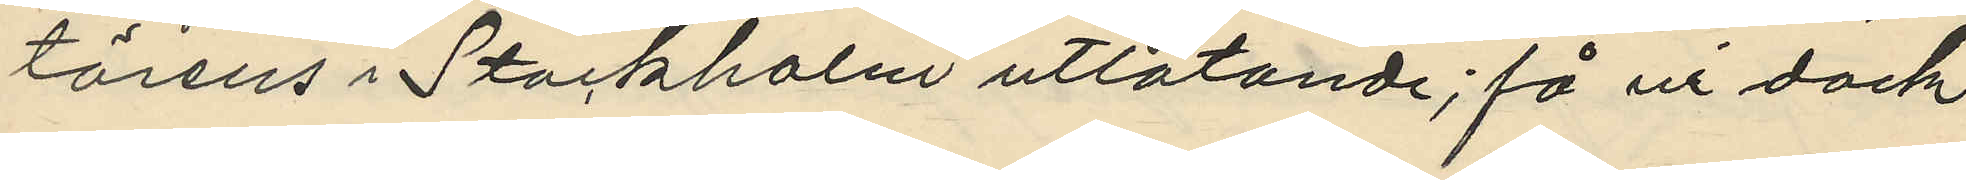törens i Stockholm utlåtande; få vi dock,
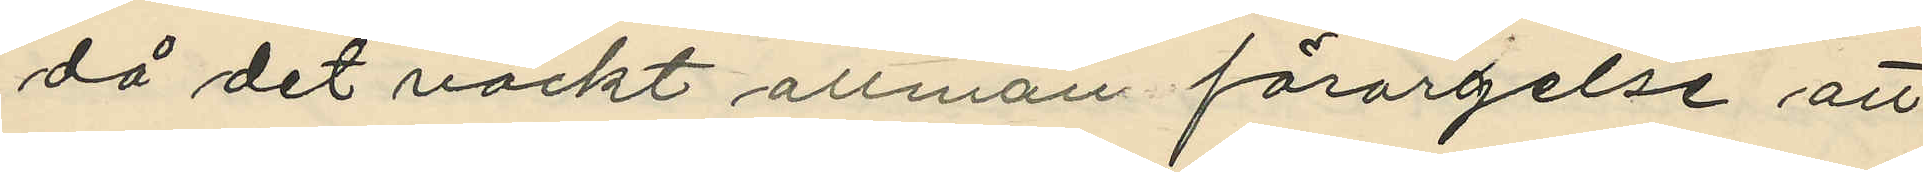då det väckt allmän förargelse att
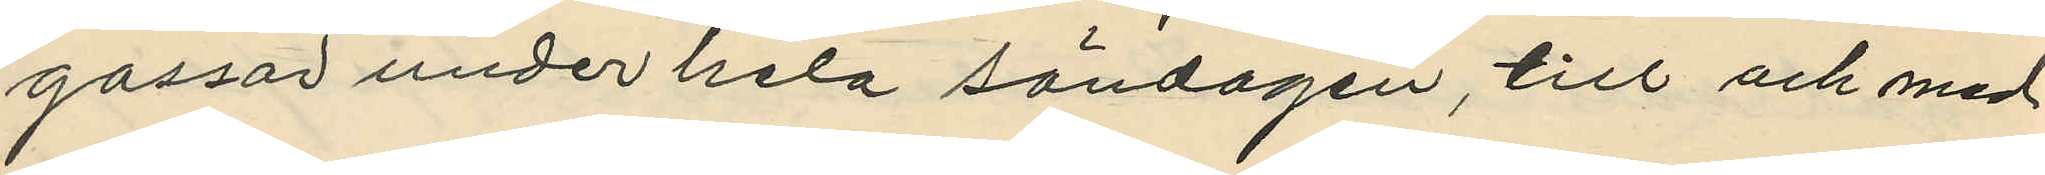gossar under hela söndagen, till och med
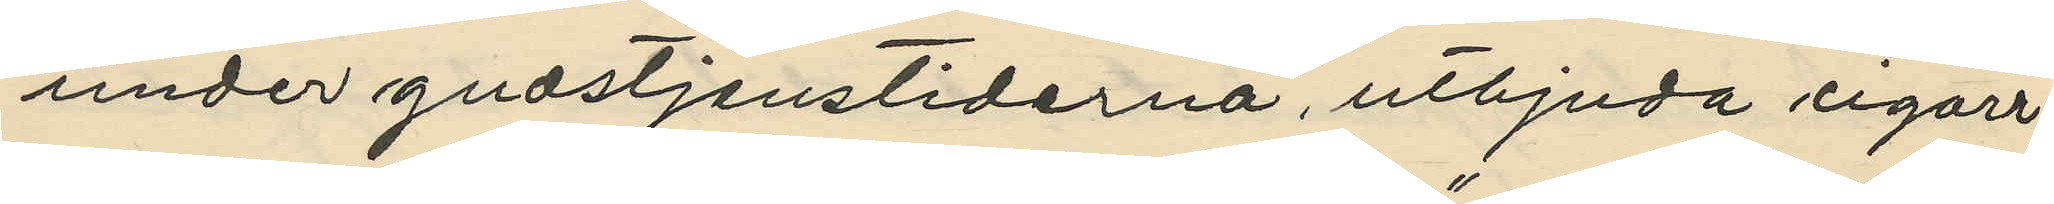under gudstjenstiderna, utbjuda cigarr¬
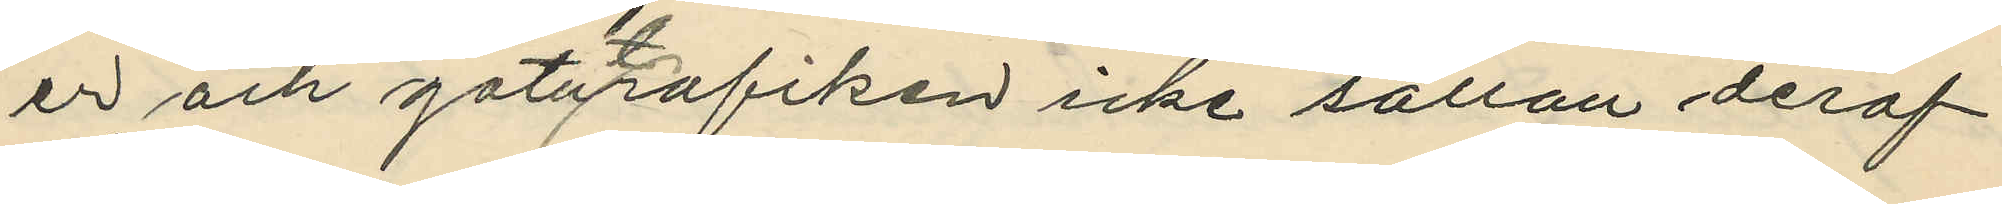er och gatutrafiken icke sällan deraf
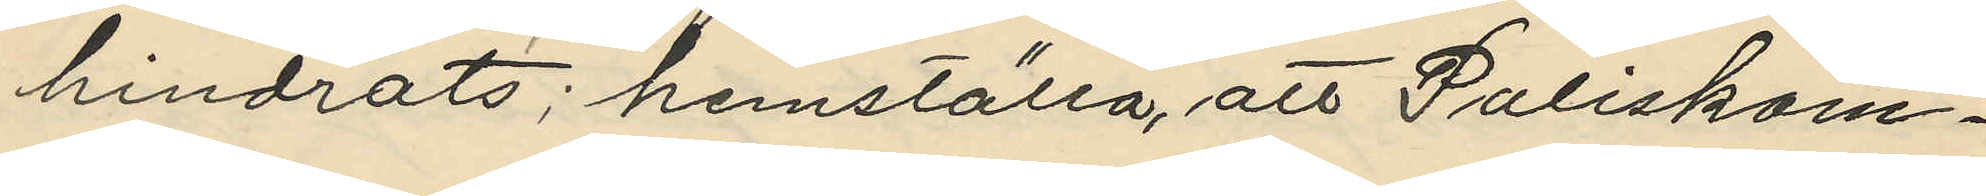hindrats; hemställa, att Poliskam¬
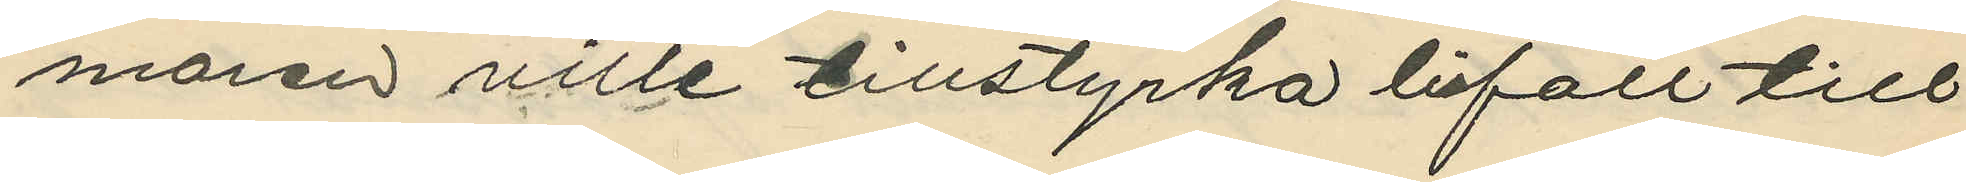maren ville tillstyrka bifall till
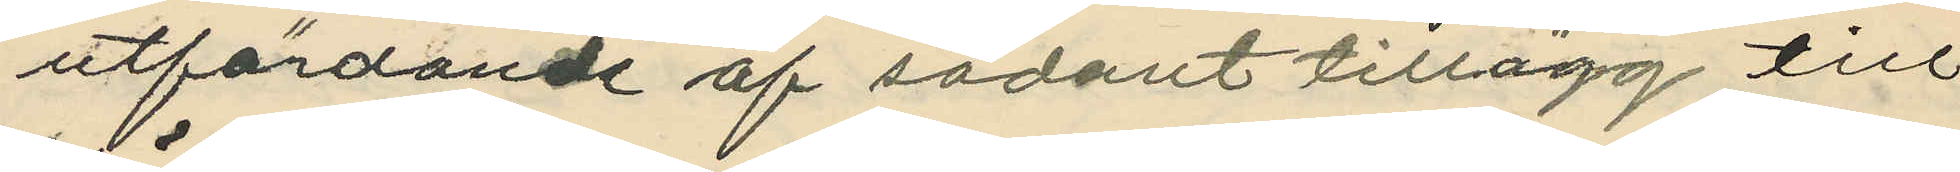utfärdande af sådant tillägg till
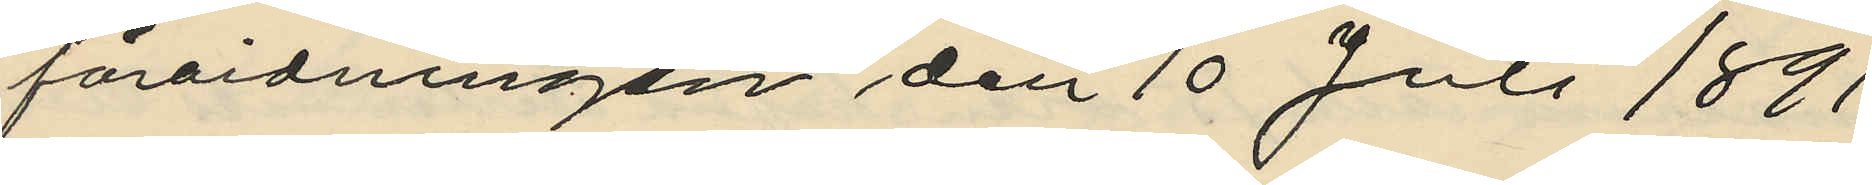förordningen den 10 Juli 1891
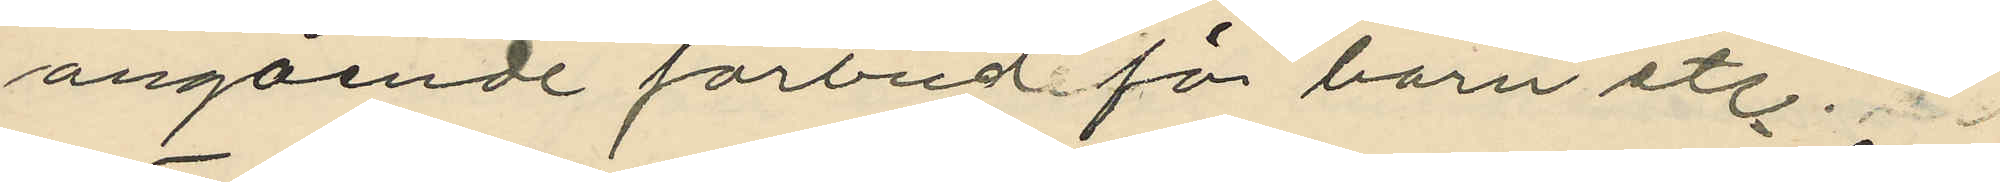angående förbud för barn etc.
